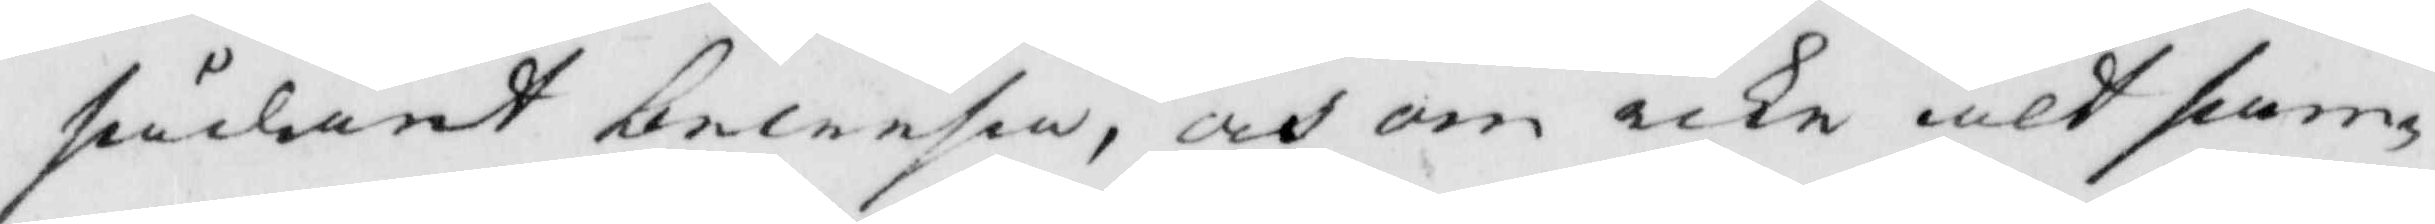sådant bewisa, och om icke alt sam¬
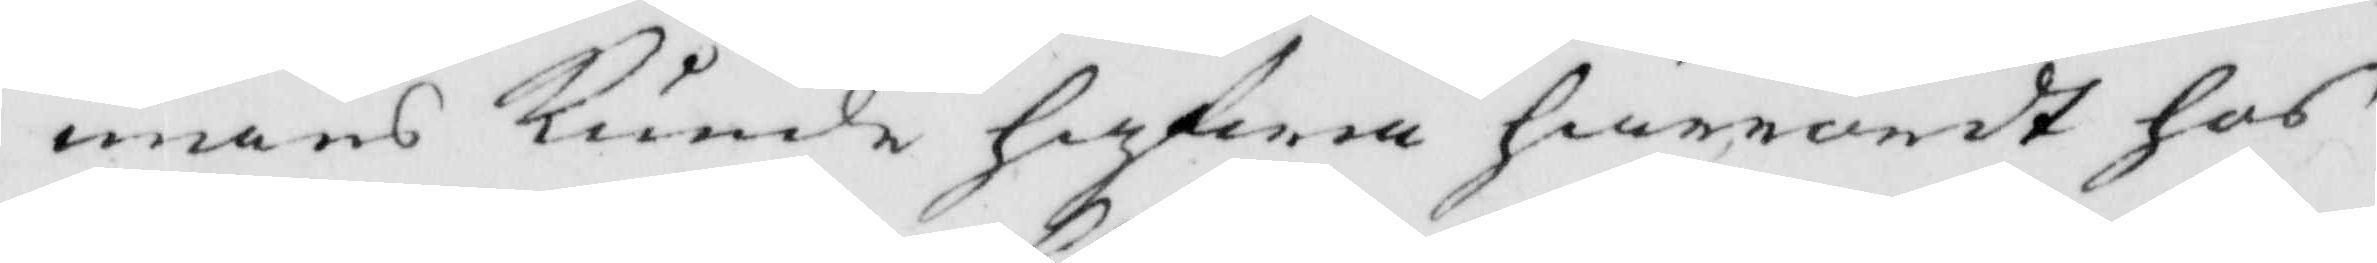mans kunde hafwa härrördt hos
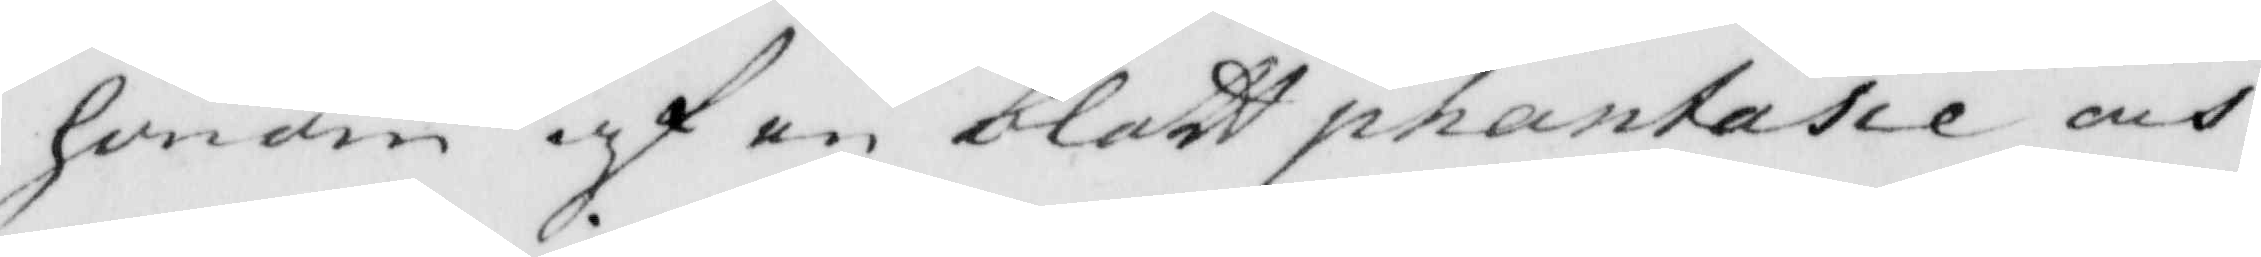honom af en blott phantasie och
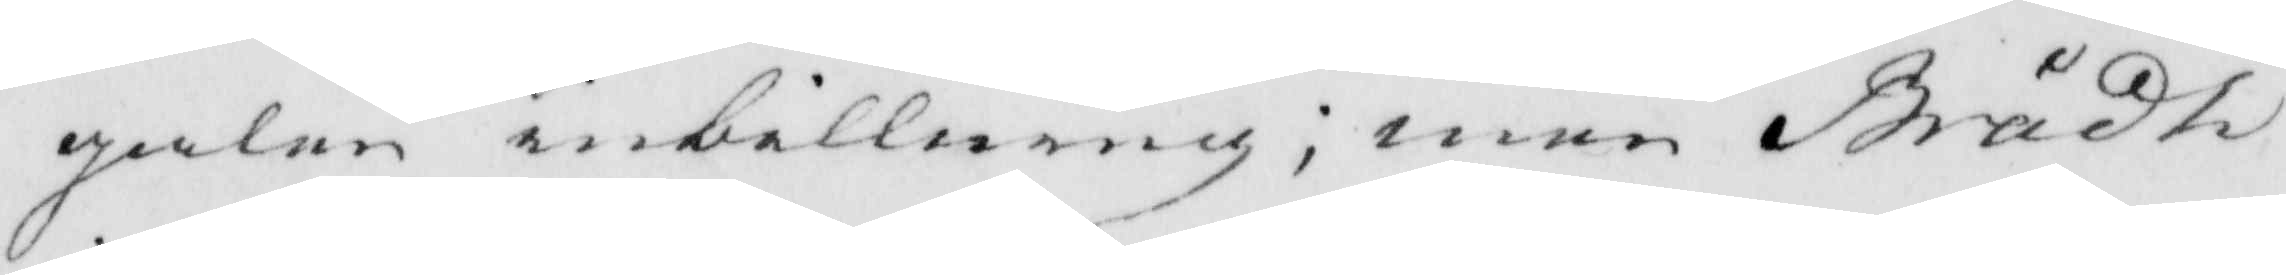galen inbillning; men Brådt
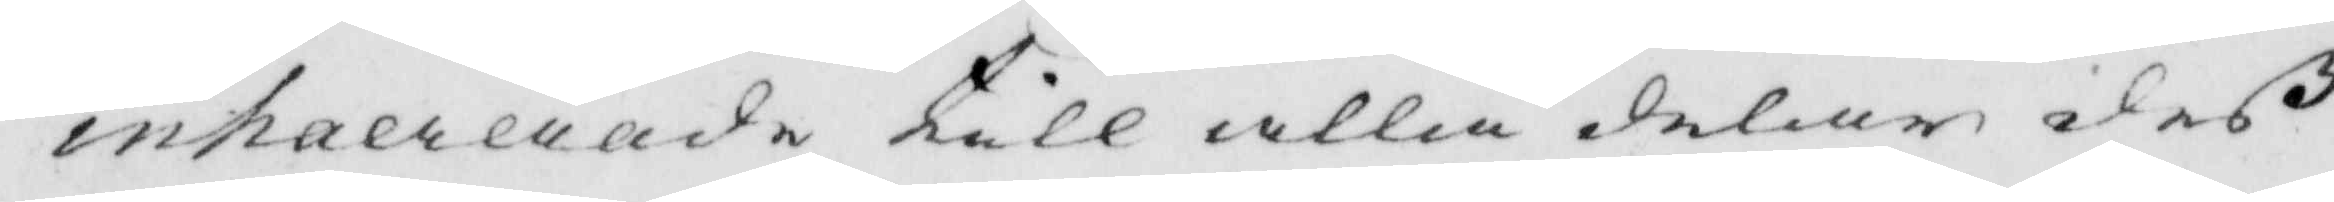inhaererade till alla delar deß
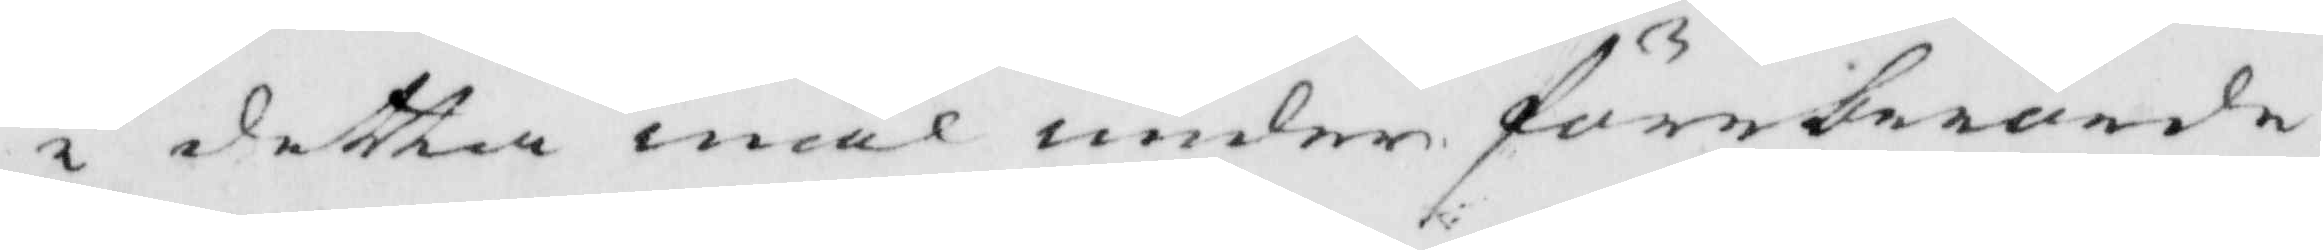i detta mål under föreberörde
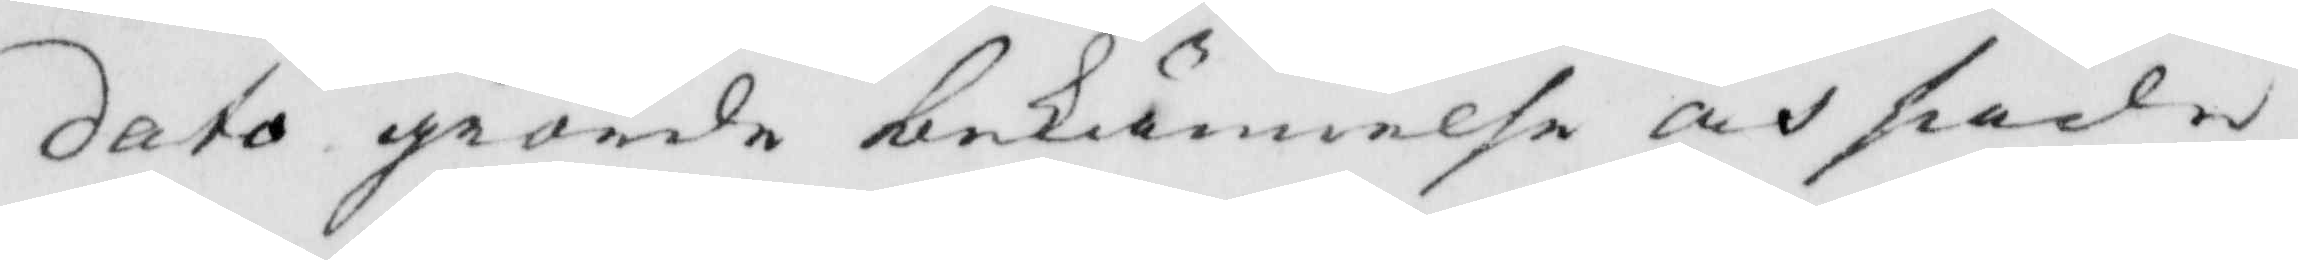dato giorde bekiännelse och sade
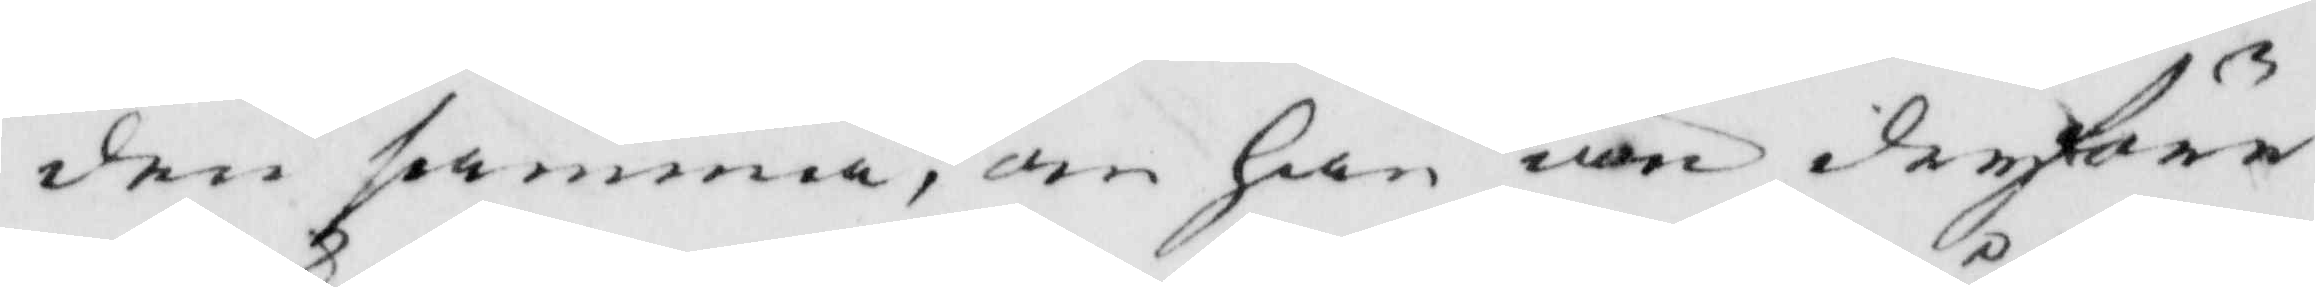den samma, om han än derföre
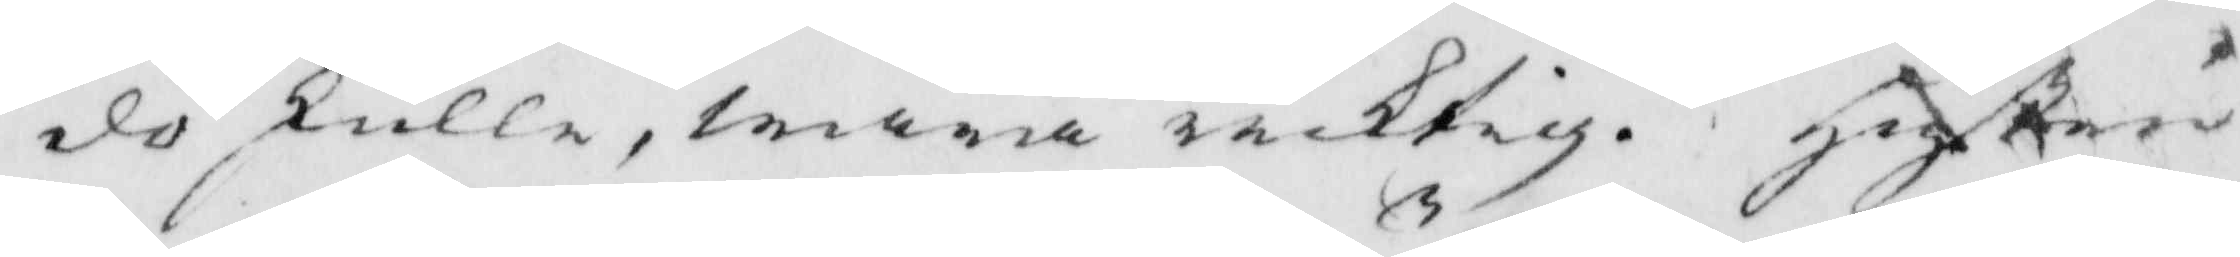dö skulle, wara ricktig. Hustru
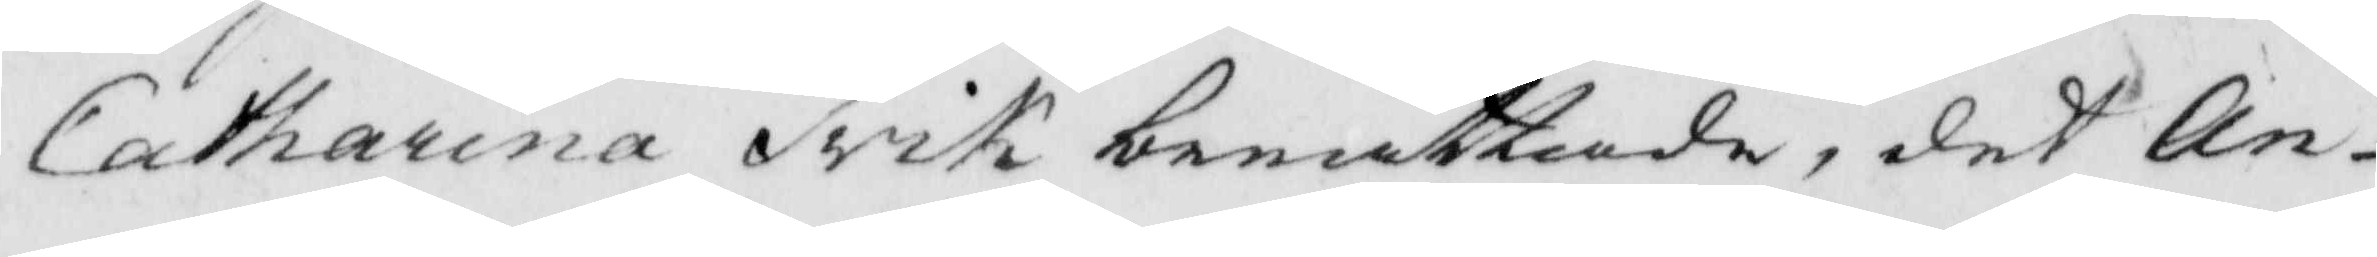Catharina Trik berättade, det An¬
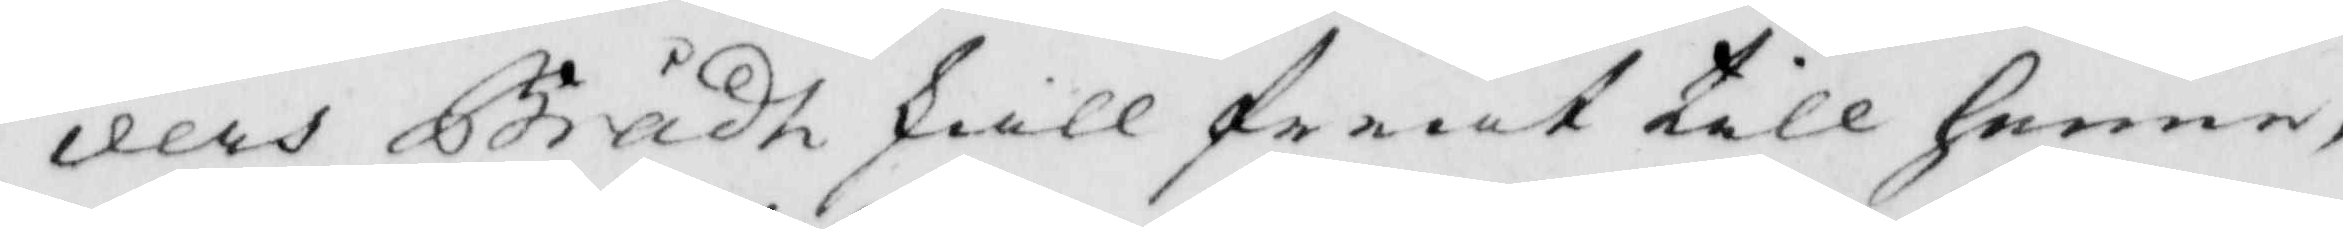ders Brådh skall friat till henne,
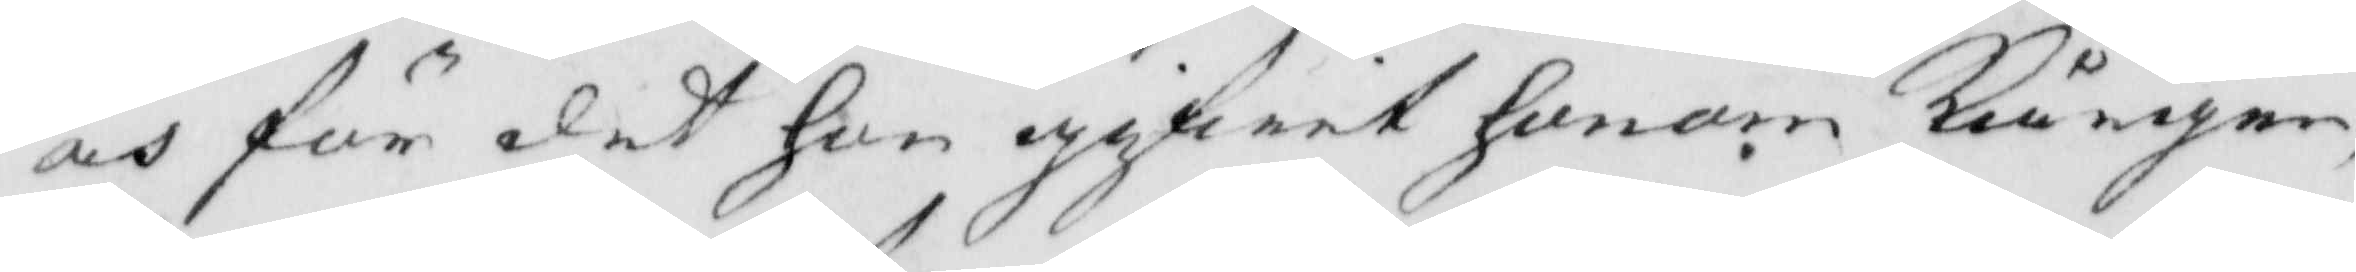oh för det hon gifwit honom kårgen,
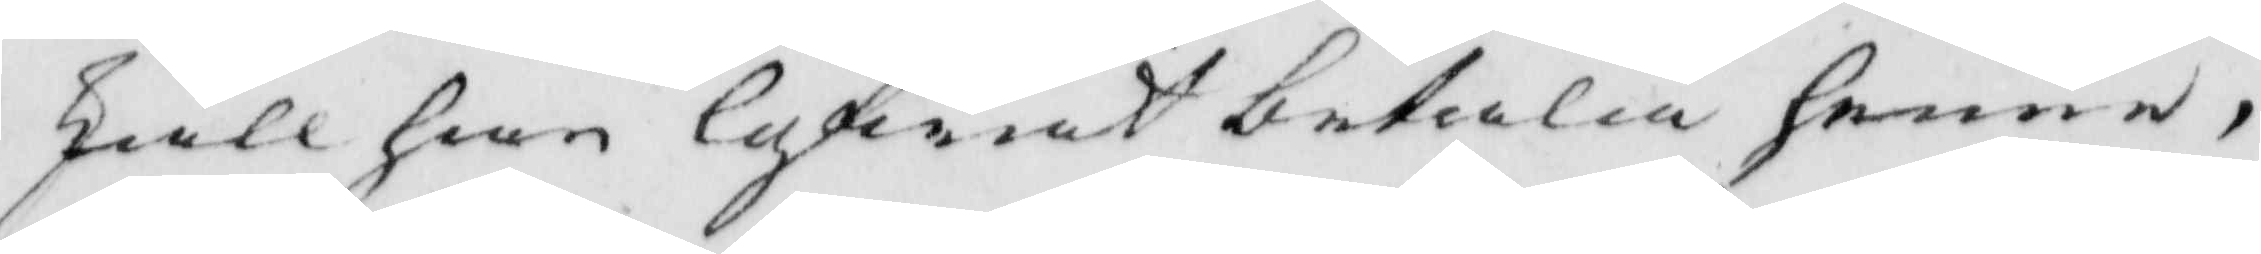skall han lofwat betala henne,
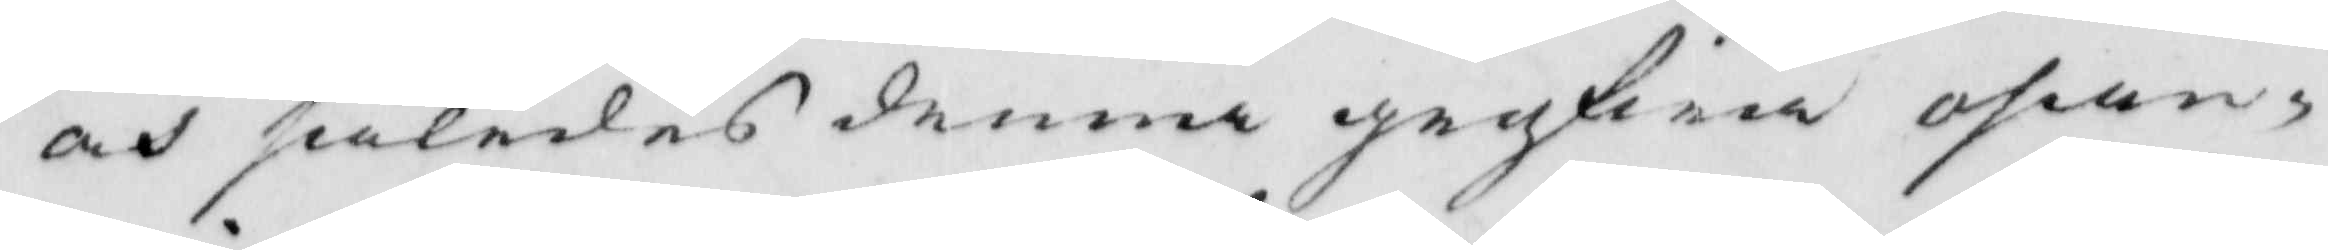och således denna grofwa osan¬
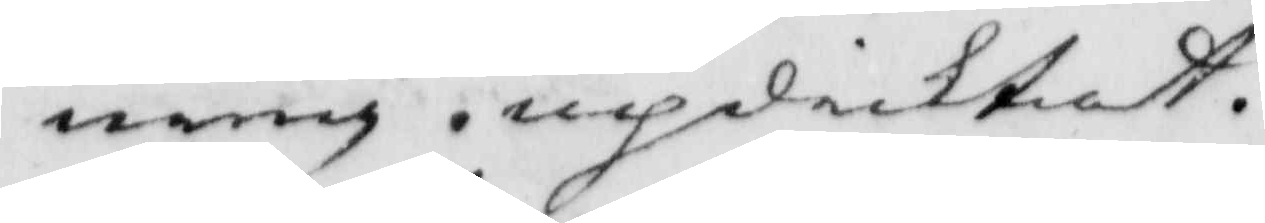ning. updicktat.
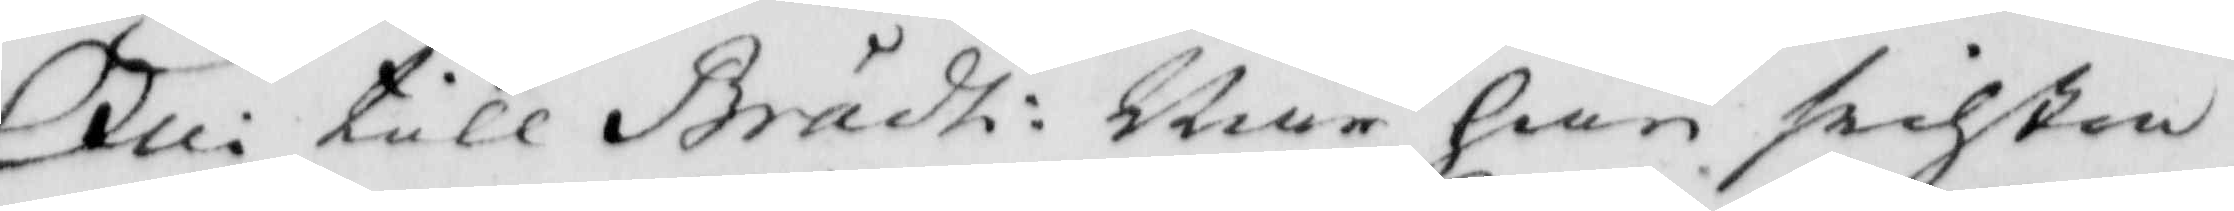Oui till Brådt: När han sidste 
